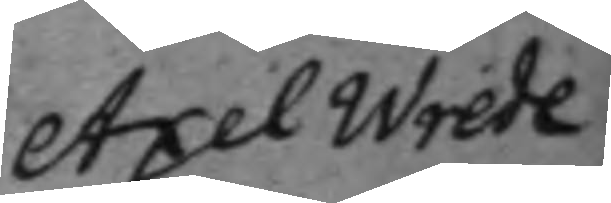Axel Wrede
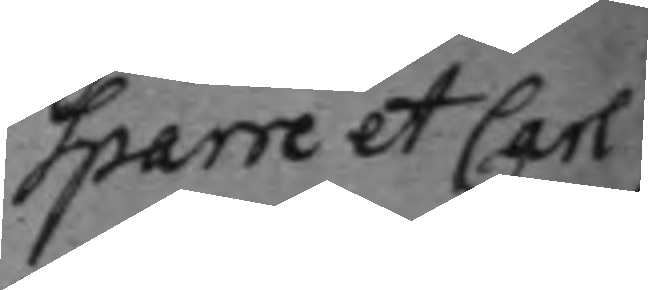Sparre et Carl
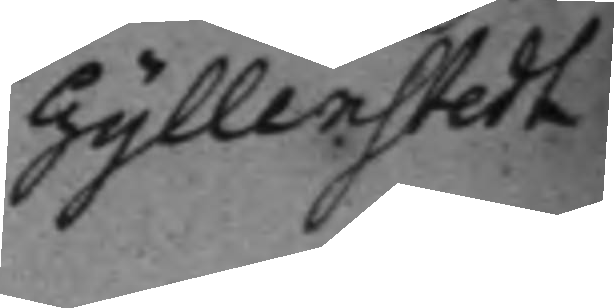Gyllenstedt
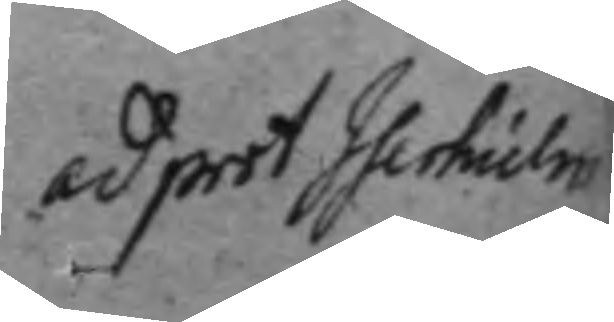ad prot Iserhielm
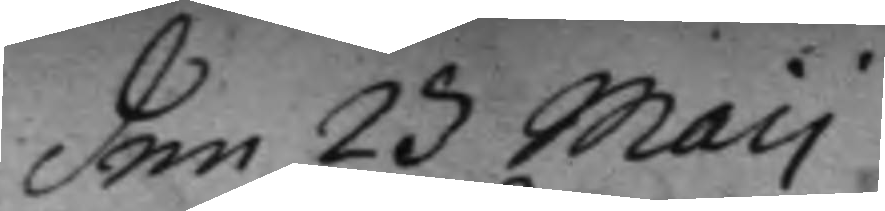den 23 Maij
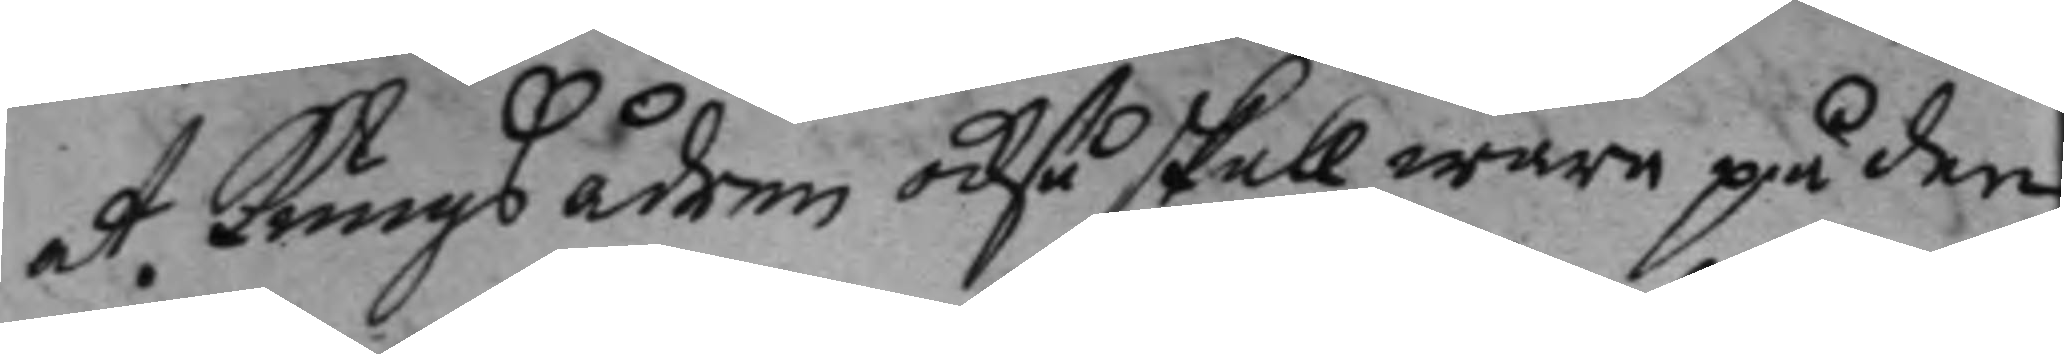A. Kungsådren också skall wara på den
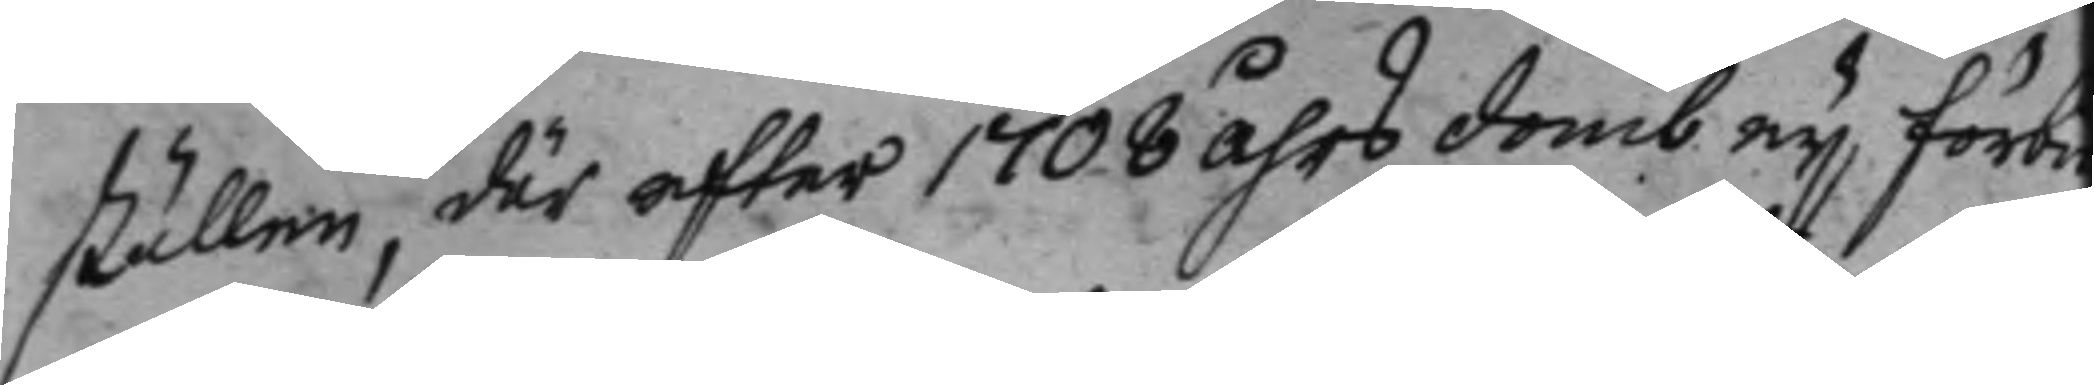ställen, där efter 1708 åhrs domb ej förbu¬
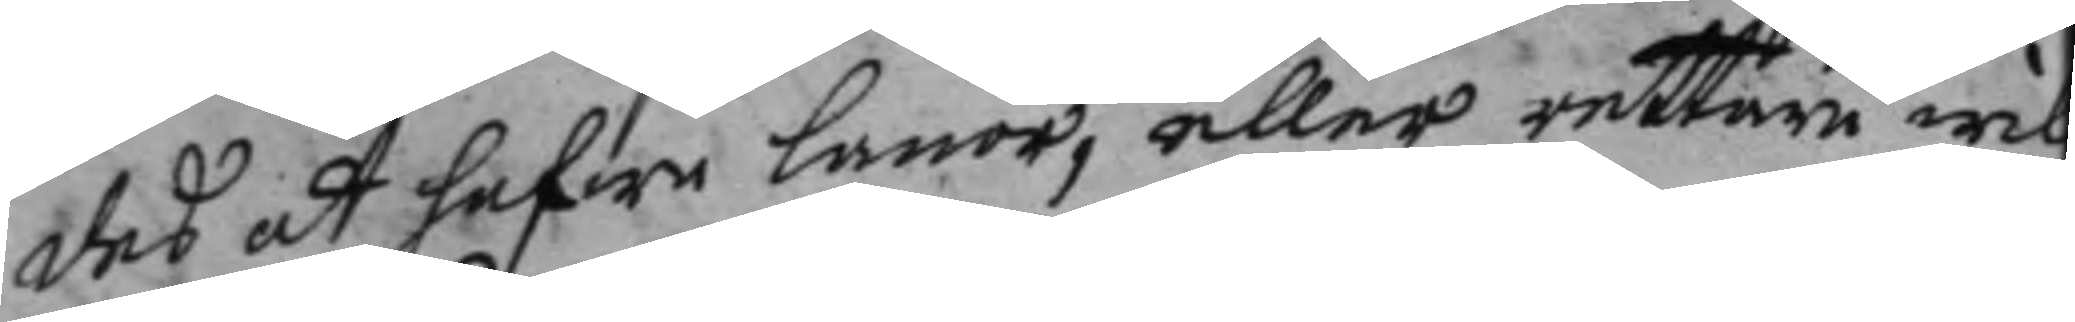des att hafwe lanor, eller rettare wil
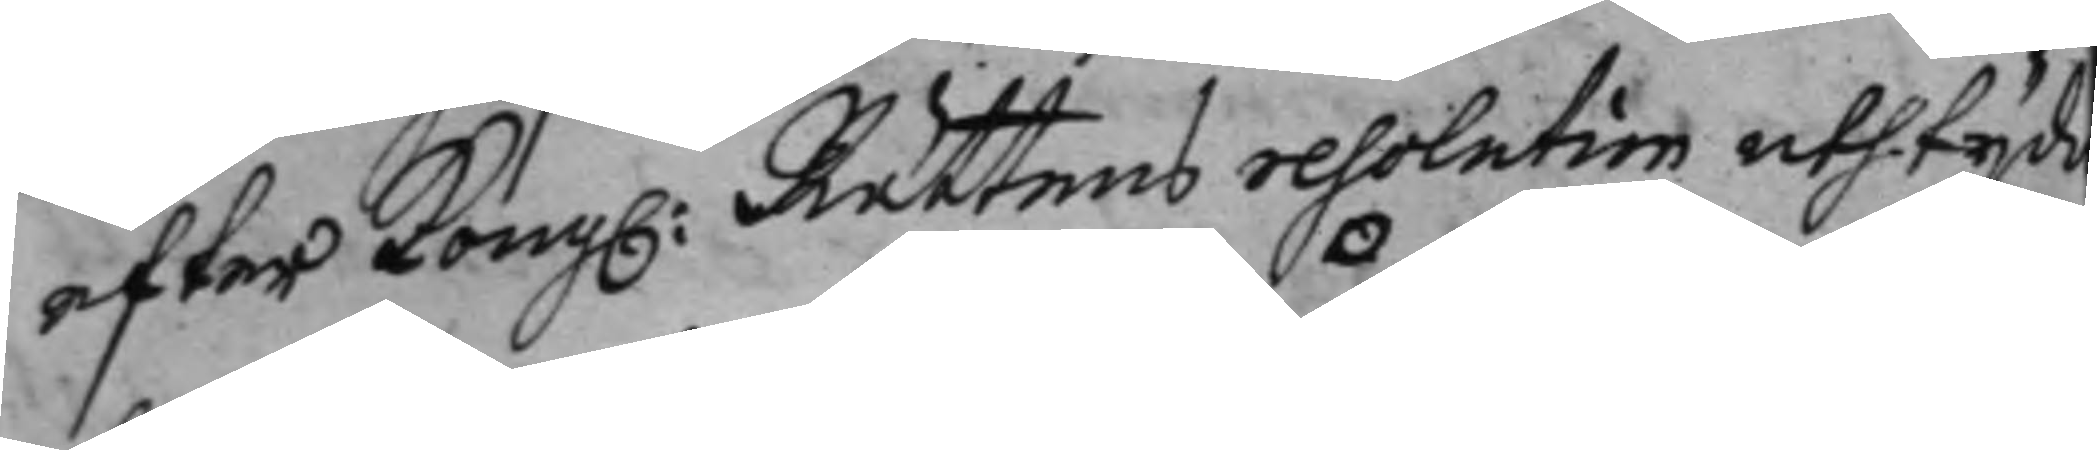efter Kong: Rättens resolution uthtyda
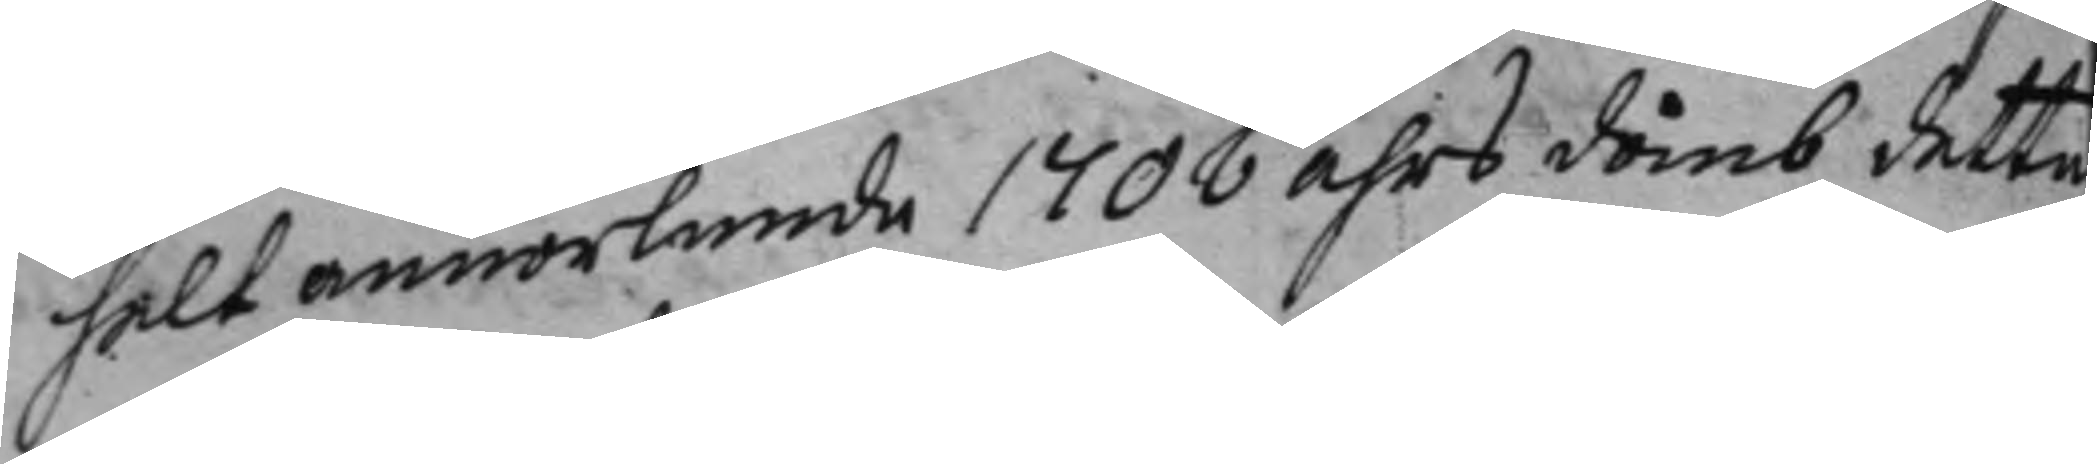helt annorlunde 1708 åhrs domb dette
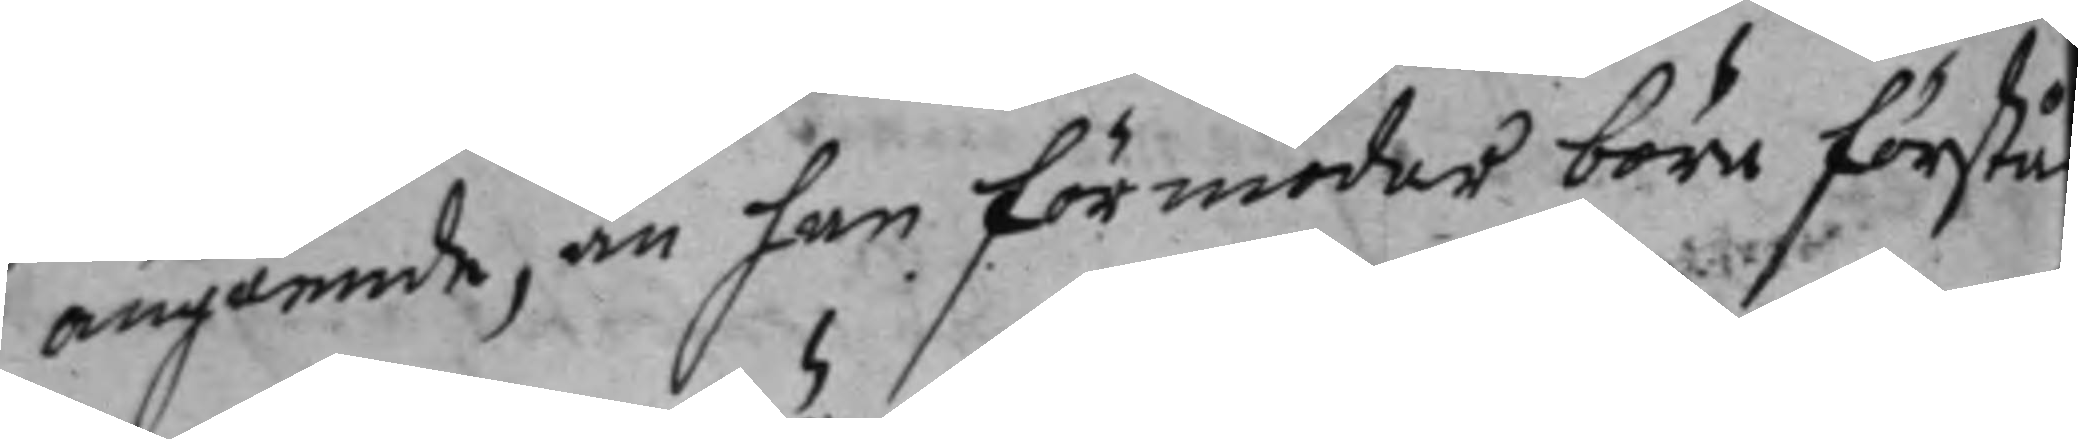angående, än han förmodar böre förstå
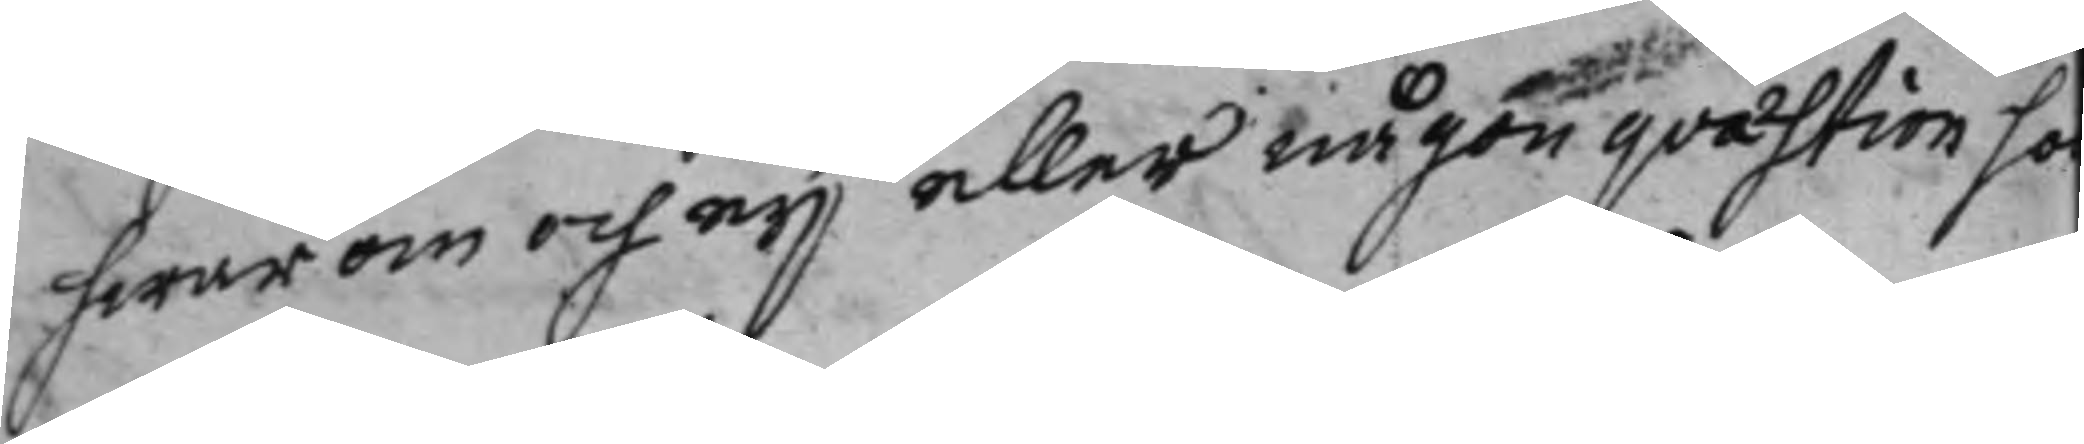hwarom och ej eller någon qvästion so
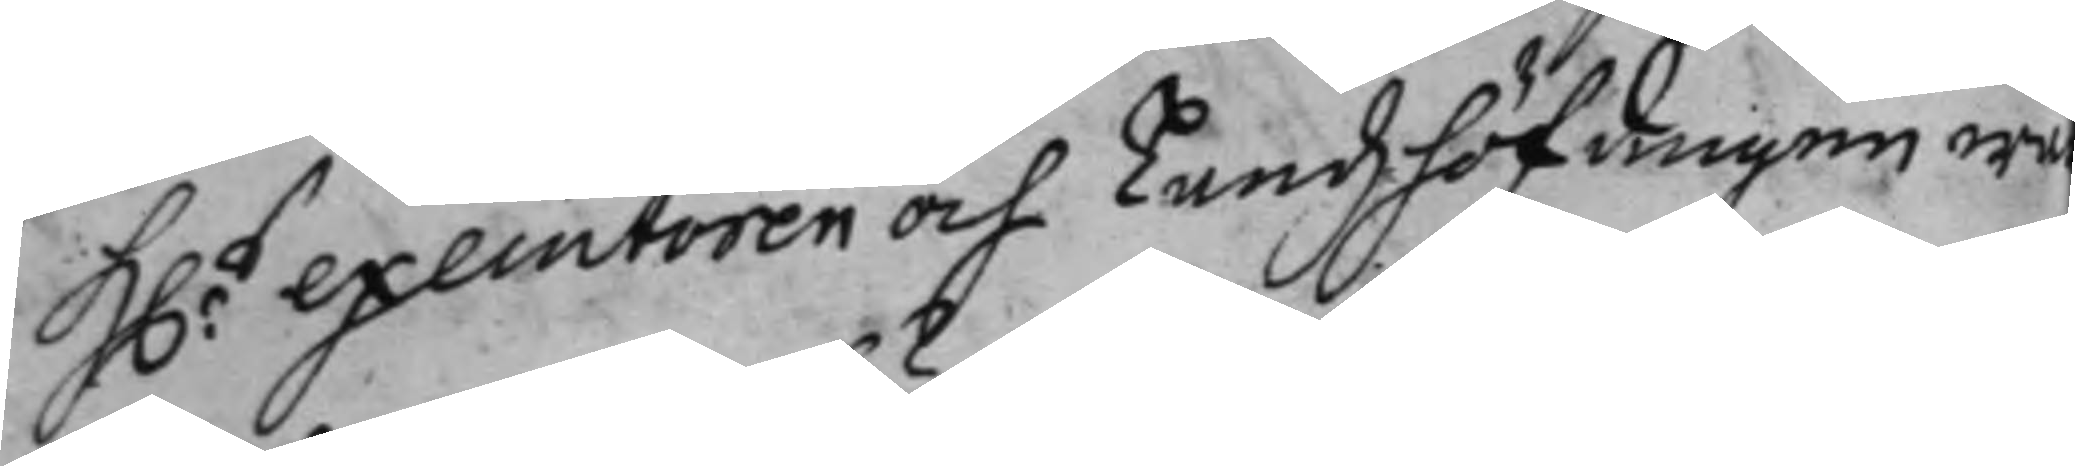H.s exemtoren och Landshöfdingen we
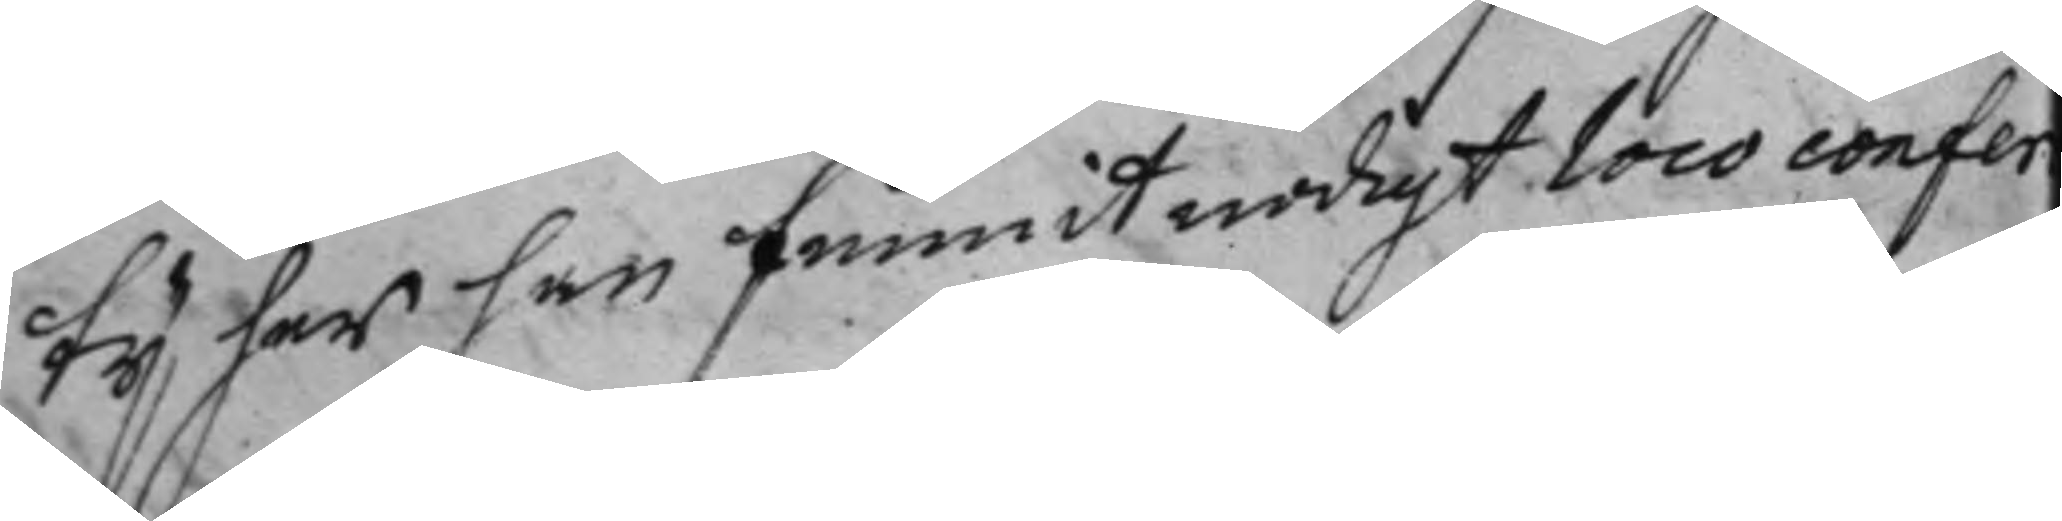ty har han funnit nodigt loco confer¬
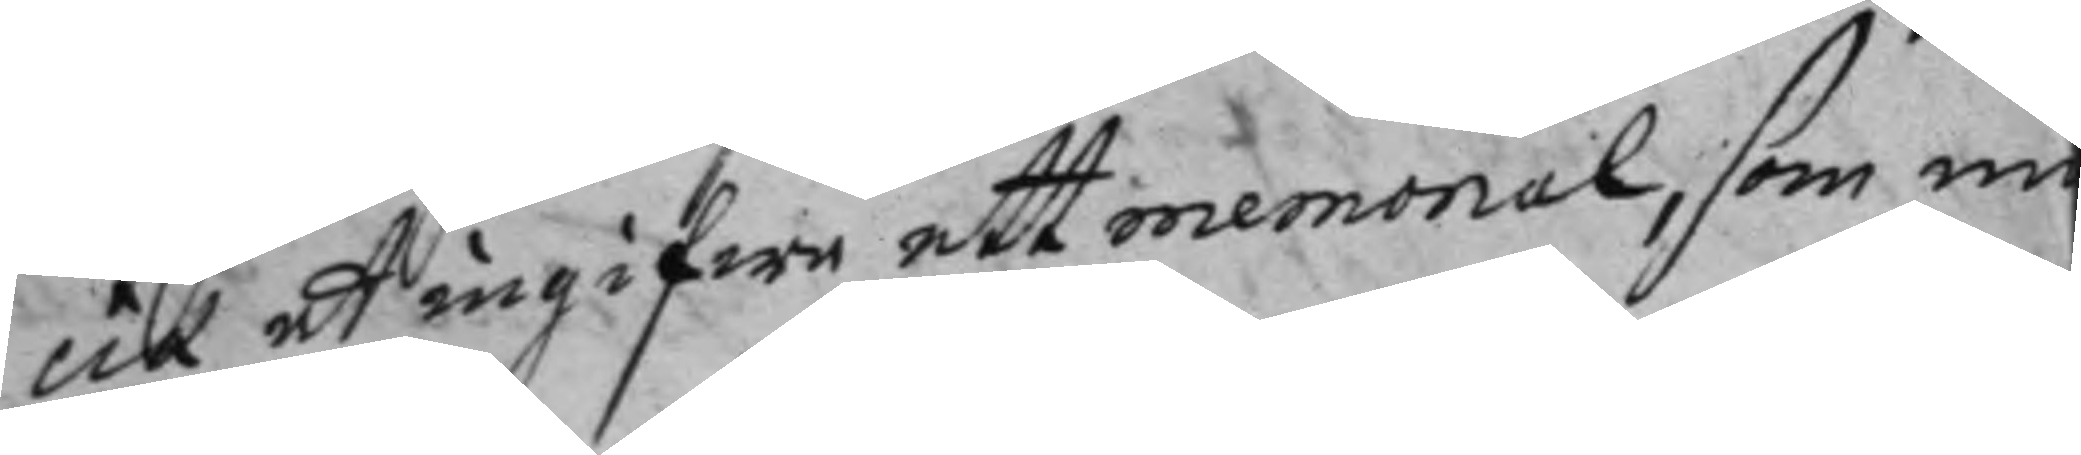cia att ingifwe ett memorial, som nu
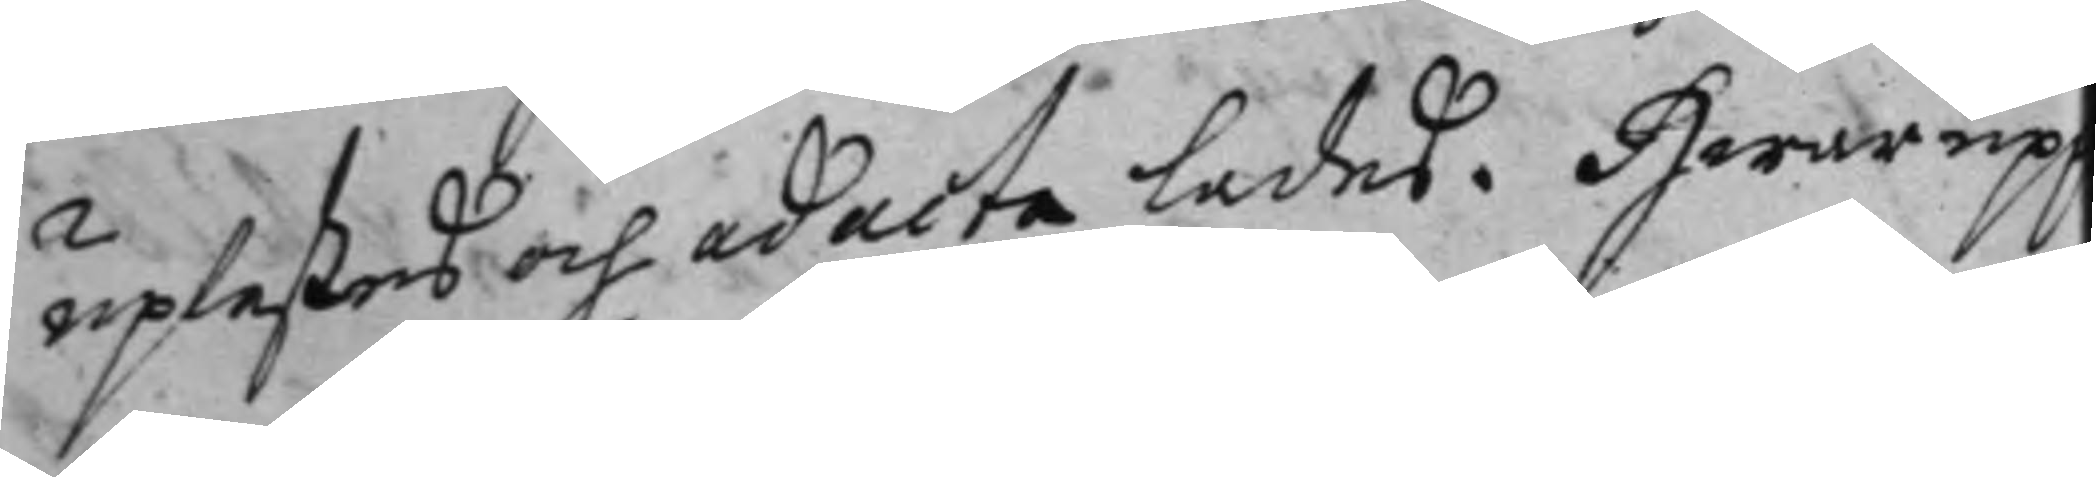uplestes och ad acta lades. Hwar upp
